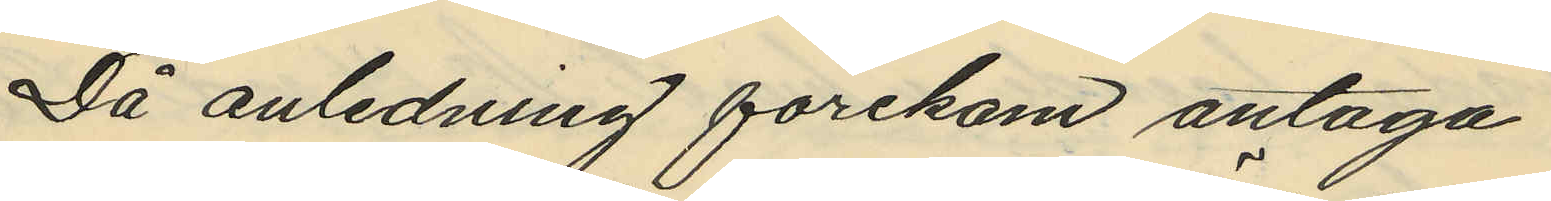Då anledning förekom antaga
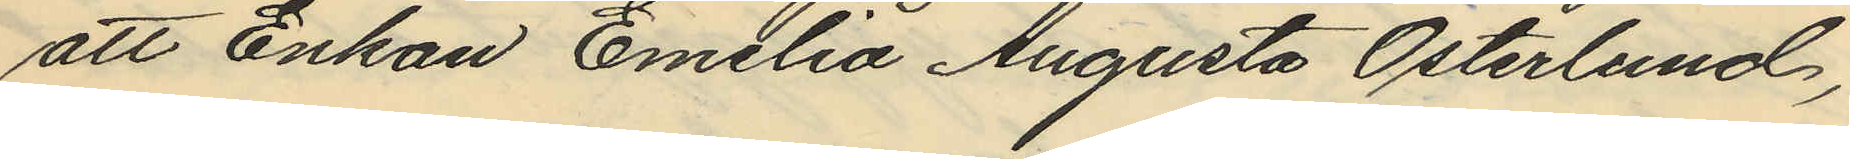att Enkan Emilia Augusta Österlund,
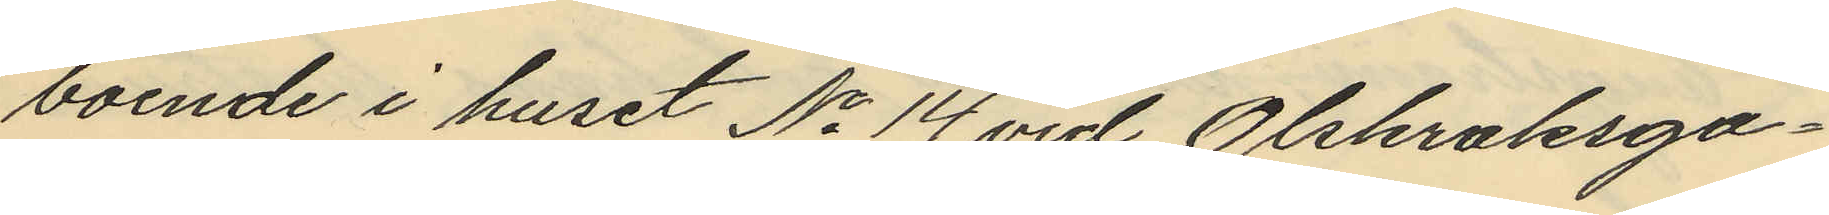boende i huset No 14 vid Olskroksga¬
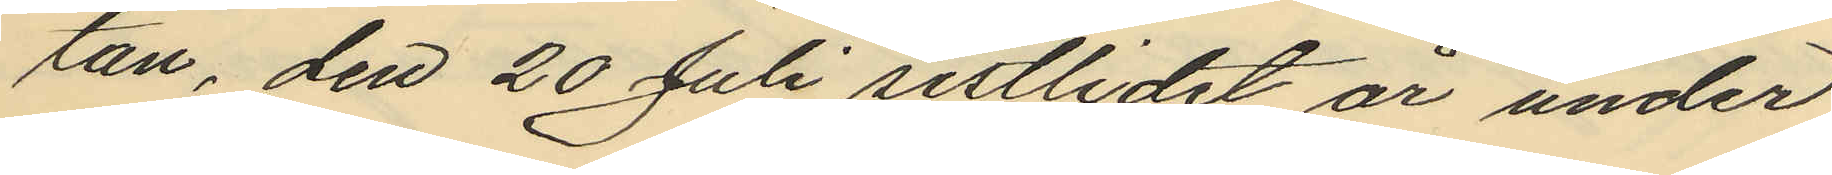tan, den 20 Juli sistlidet år under
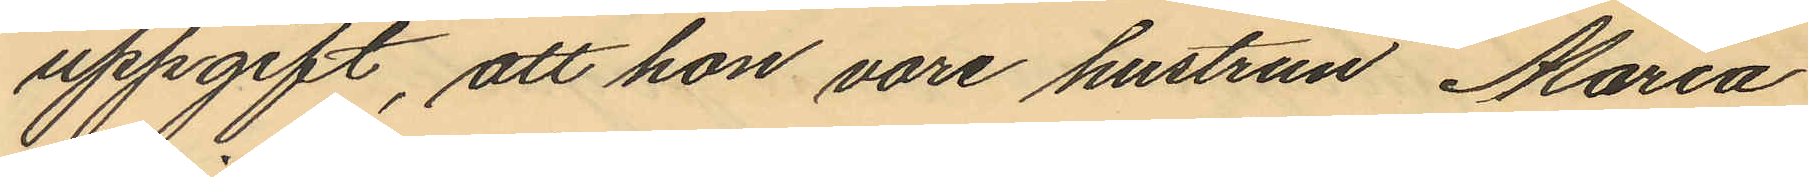uppgift, att hon vore hustrun Maria
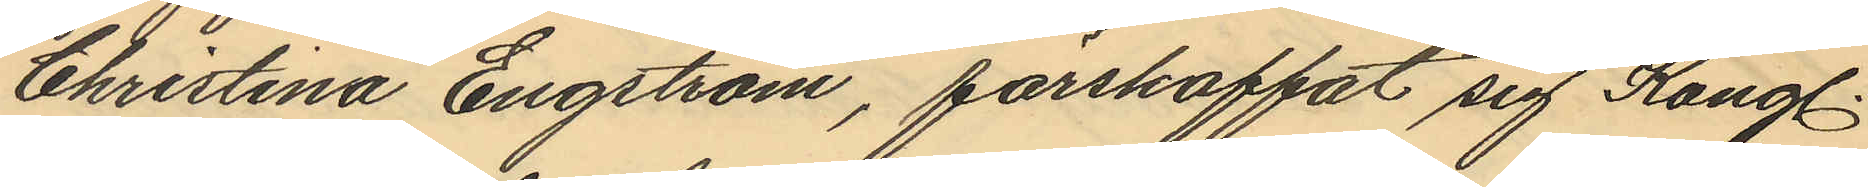Christina Engström, förskaffat sig Kongl.
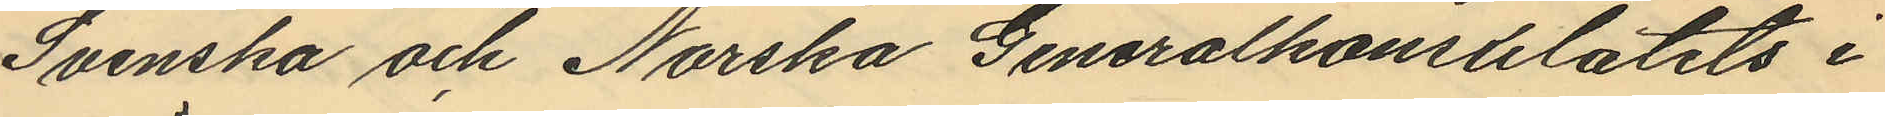Svenska och Norska Generalkonsulatets i
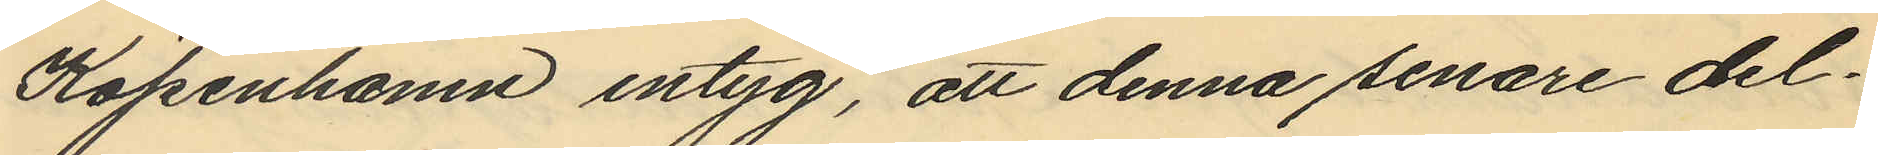Köpenhamn intyg, att denna senare del¬
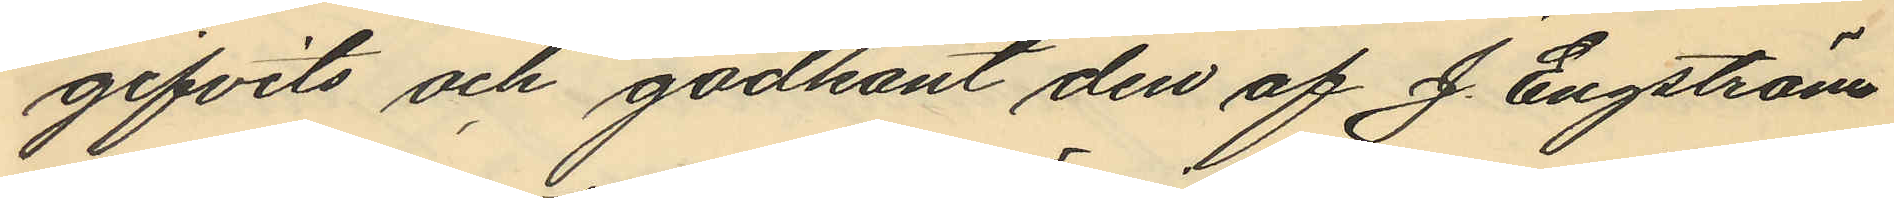gifvits och godkänt den af J. Engström
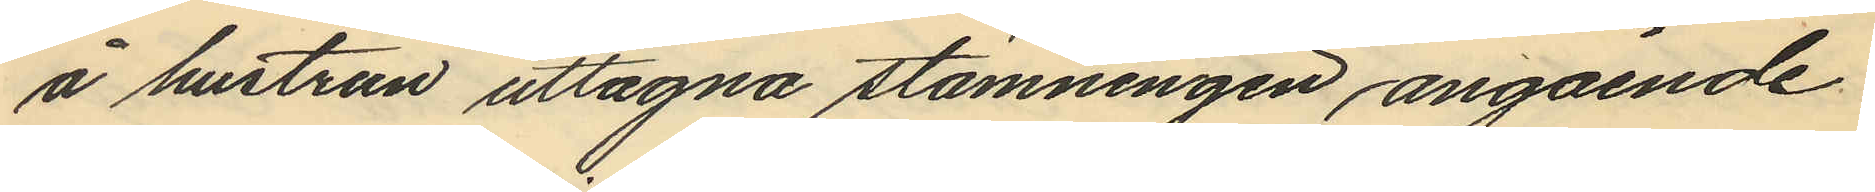å hustrun uttagna stämningen, angående
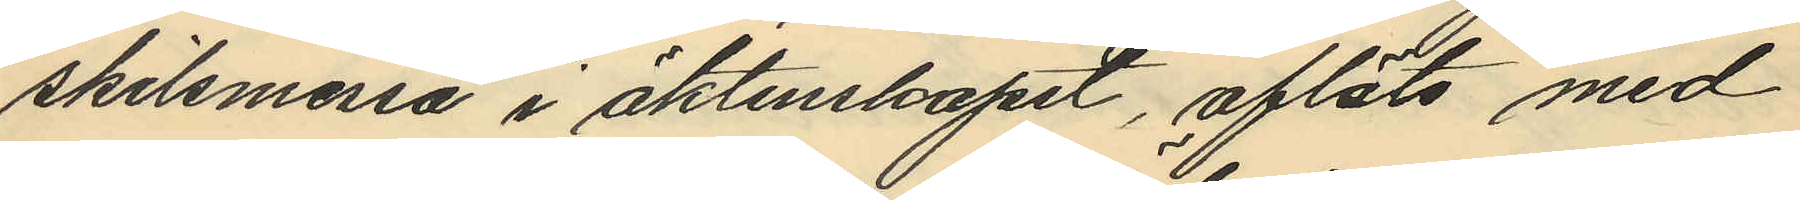skilsmessa i äktenskapet, afläts med
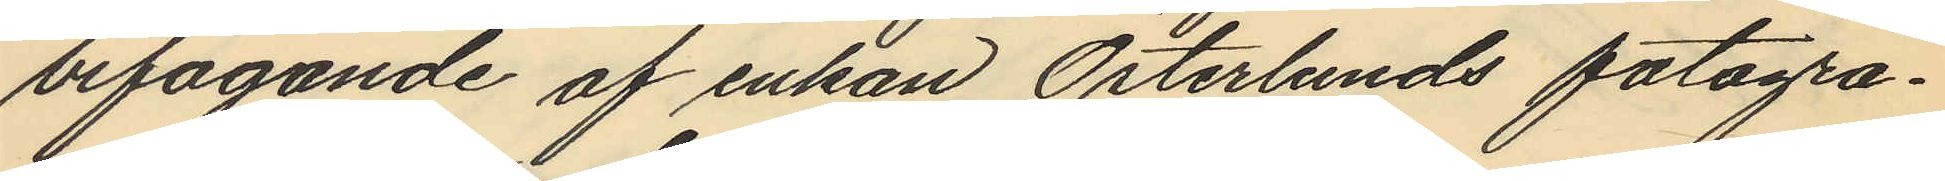bifogande af enkan Österlunds fotogra¬
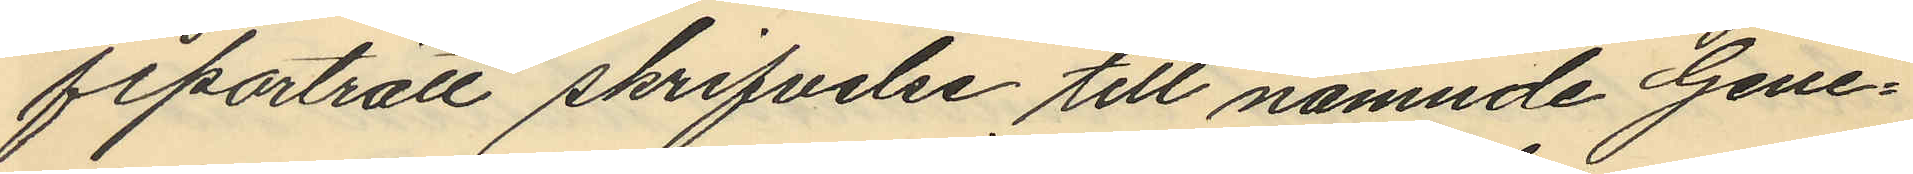fiporträtt skrifvelse till nämnde Gene¬
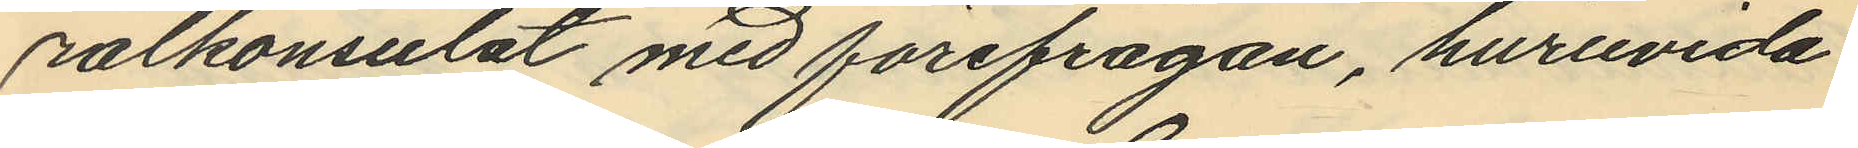ralkonsulat med förefrågan, huruvida
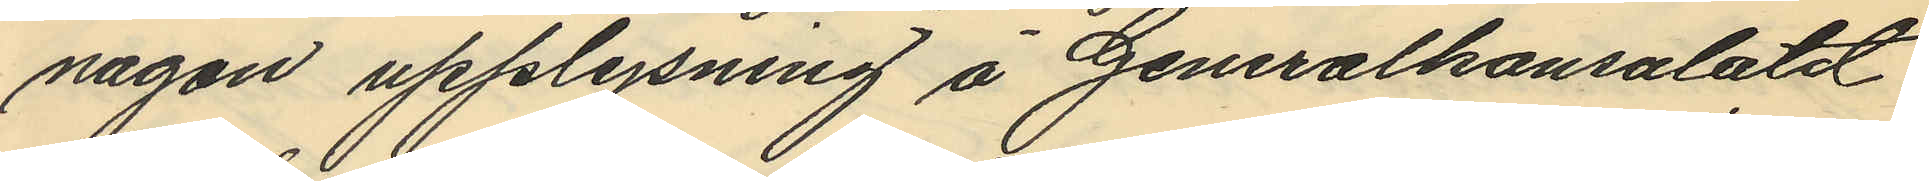någon upplysning å Generalkonsulatet
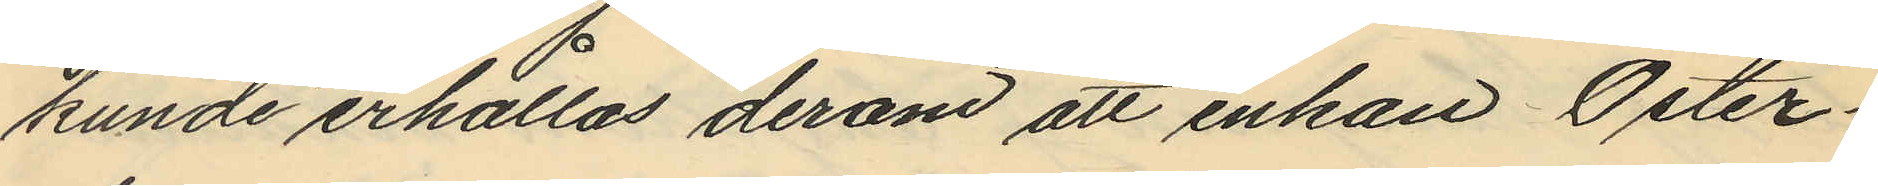kunde erhållas derom att enkan Öster¬
